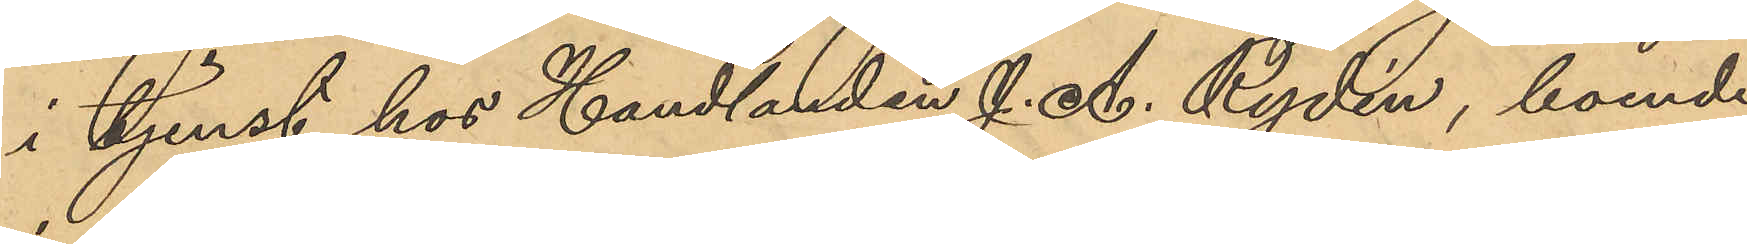i tjenst hos Handlanden J. A. Rydin, boende
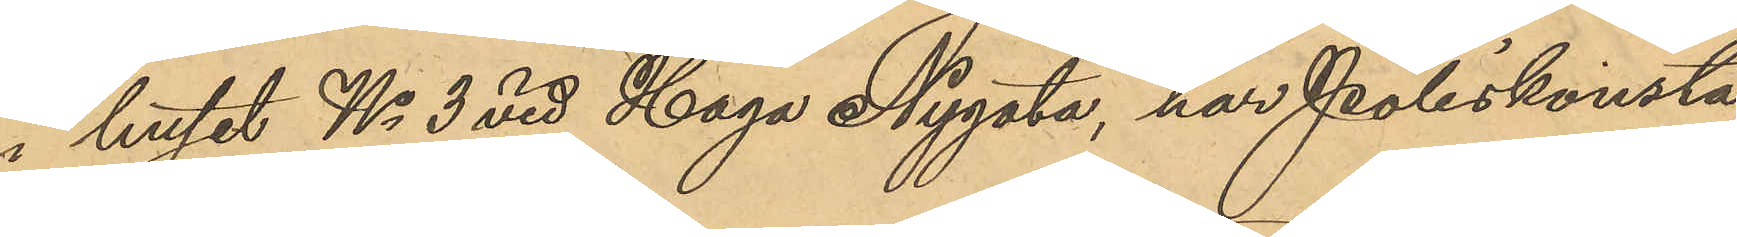i huset No 3 vid Haga Nygata, har Poliskonsta¬
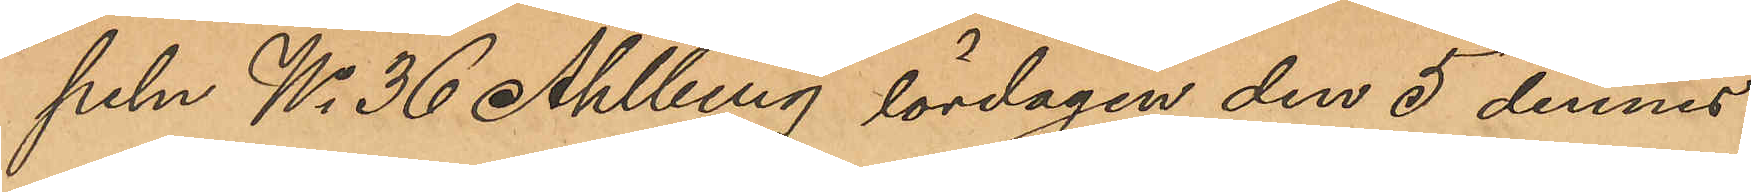peln No 36 Ahlberg lördagen den 5 dennes
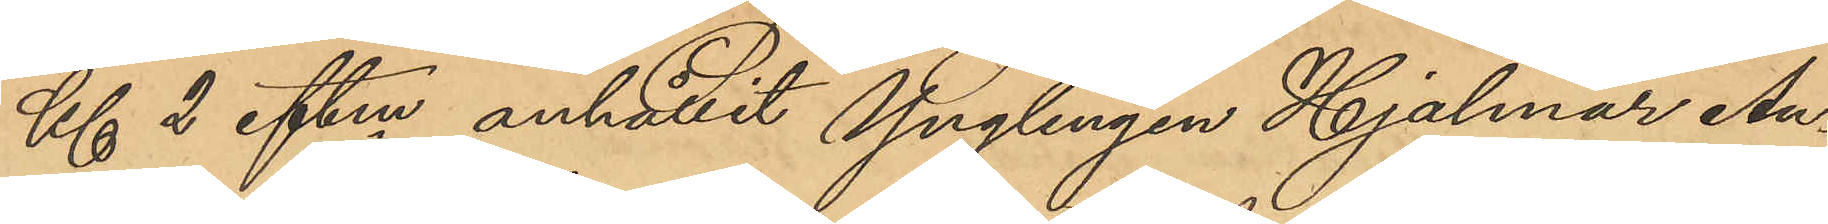Kl 2 eftm anhållit Ynglingen Hjalmar Au¬
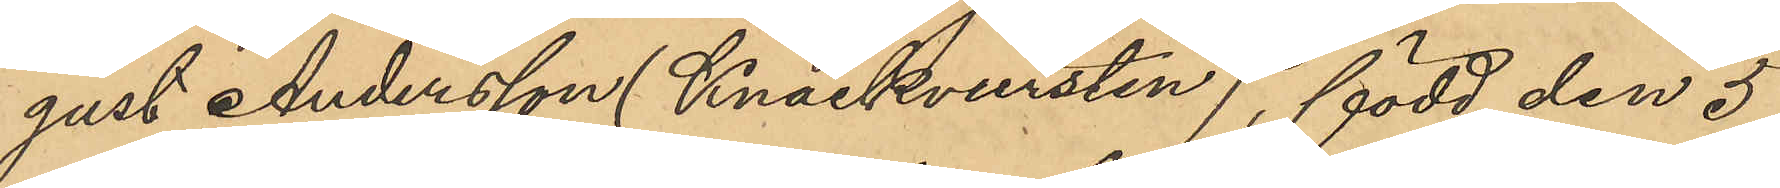gust Andersson (Knackvursten), född den 5
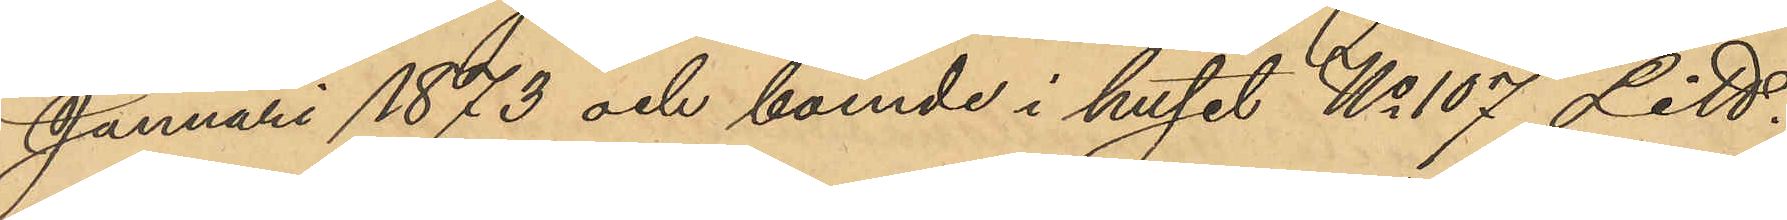Januari 1873 och boende i huset No 107 Litt.
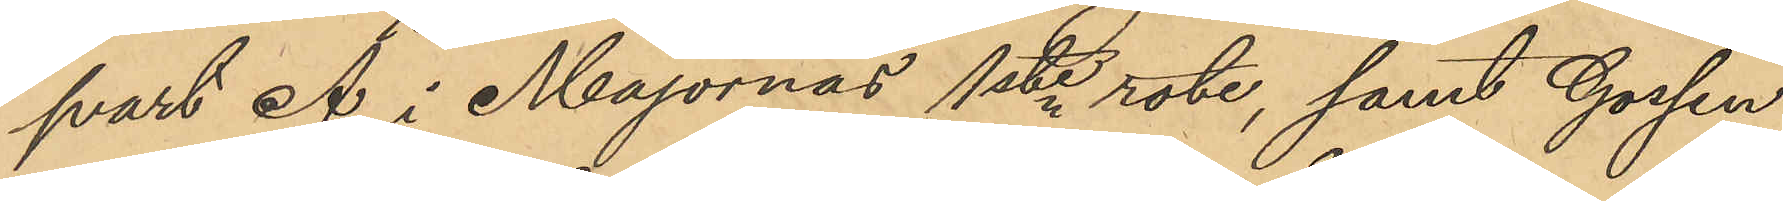svart Å i Majornas 1ste rote, samt Gossen
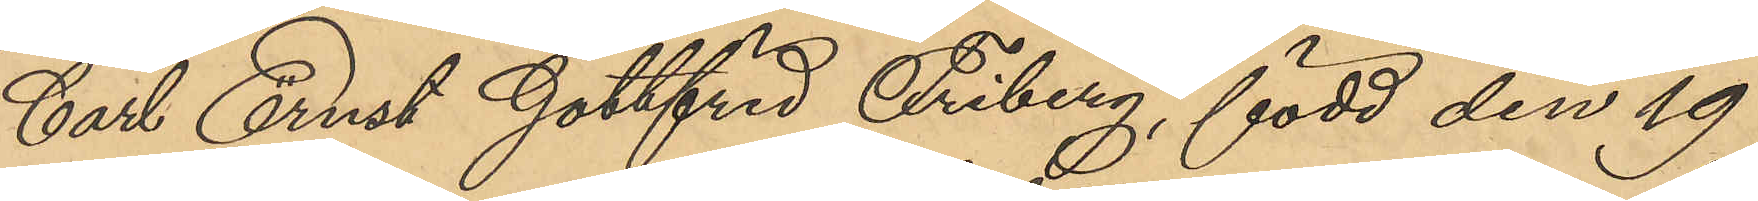Carl Ernst Gottfrid Friberg, född den 19
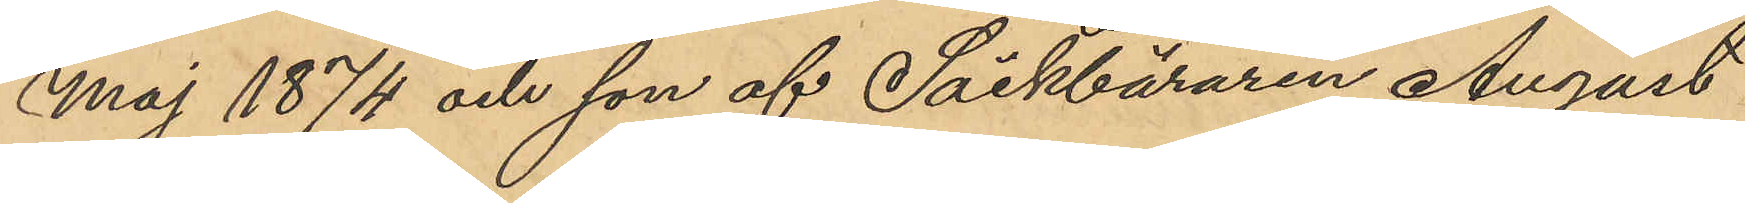Maj 1874 och son af Säckbäraren August
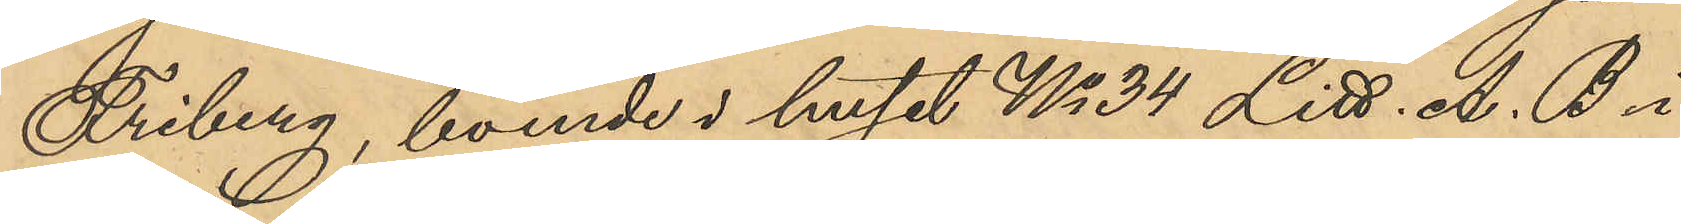Friberg, boende i huset No 34 Litt. A.B i
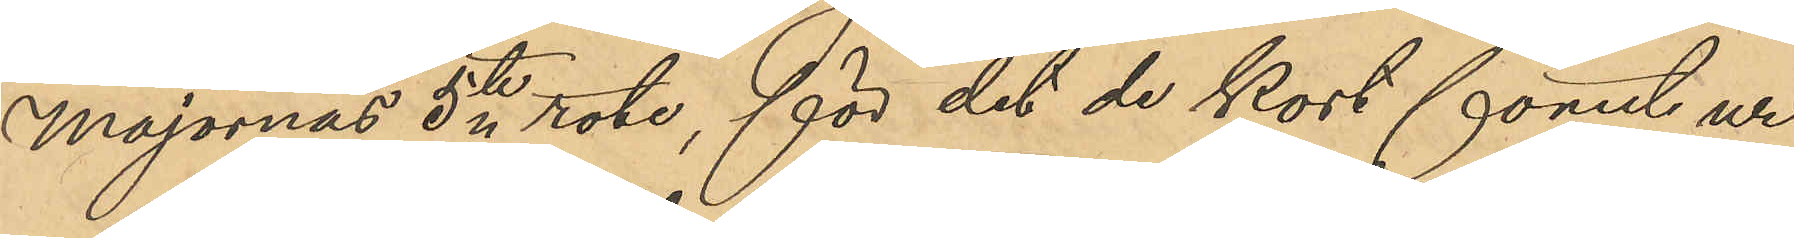Majornas 5te rote, för det de kort förut ur
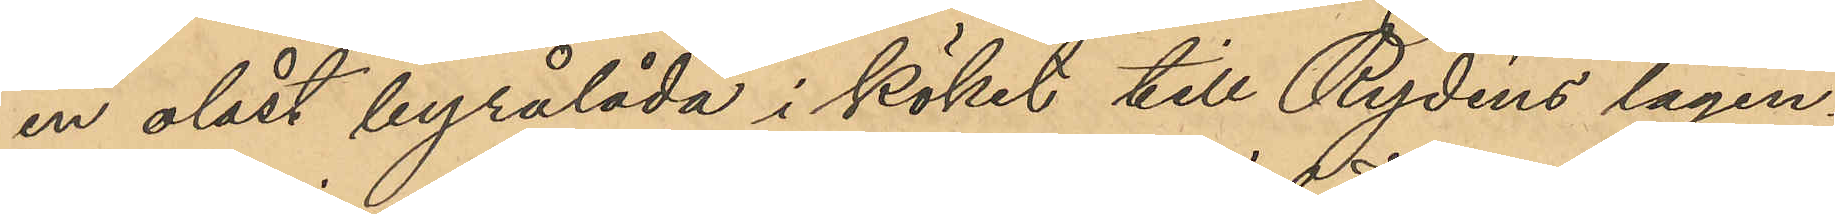en olåst byrålåda i köket till Rydins lägen¬
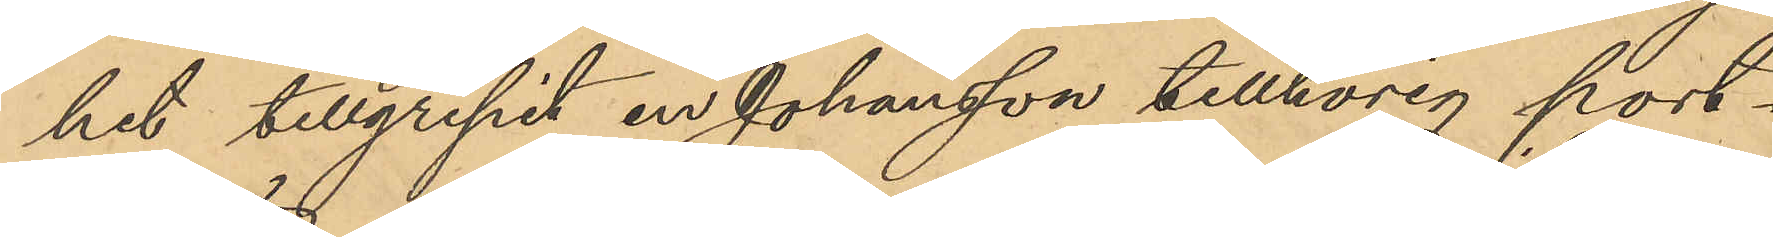het tillgripit en Johansson tillhörig port¬
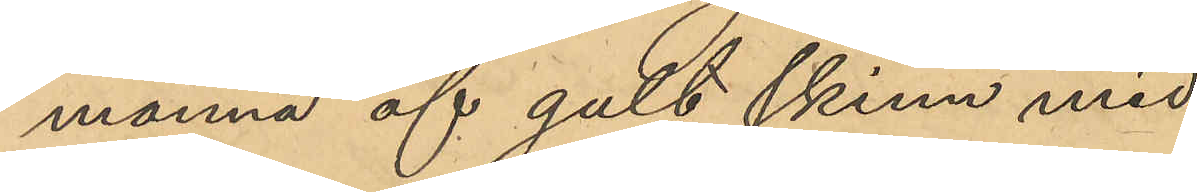monnä af gult skinn med
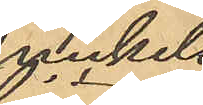nickels¬
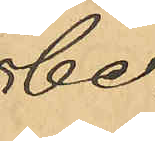be¬
